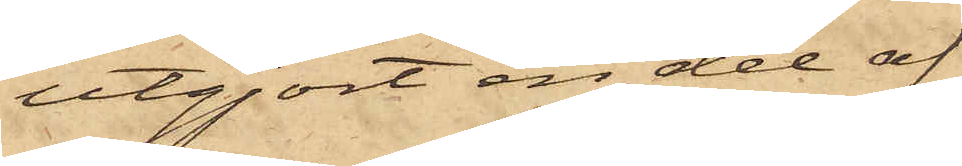utgjort en del af
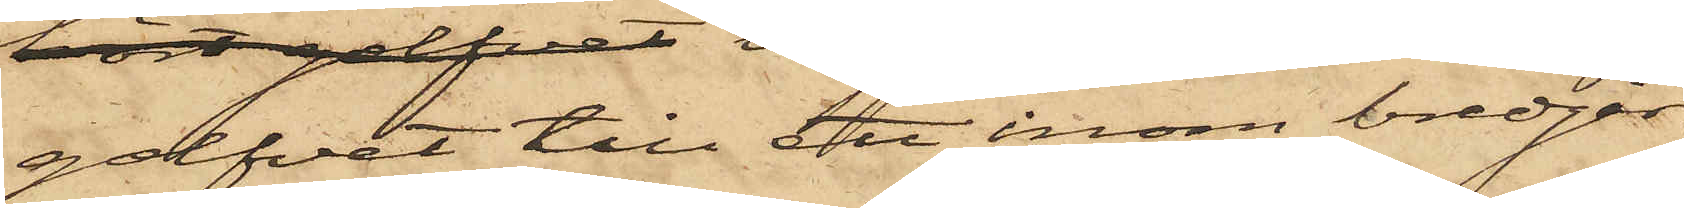 golfvet till det inom bredgår¬
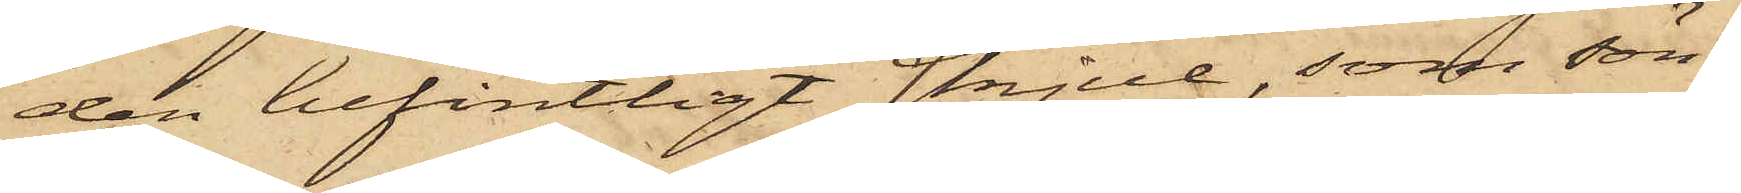den befintligt skjul, som sön¬
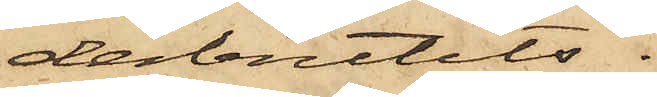derbrutits.
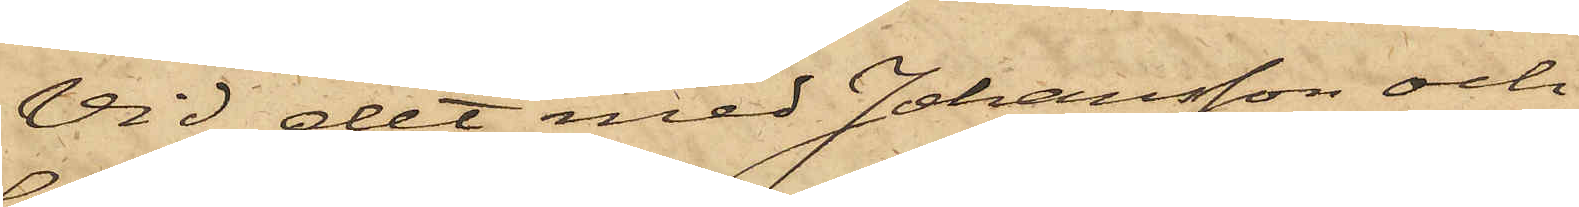Vid det med Johansson och
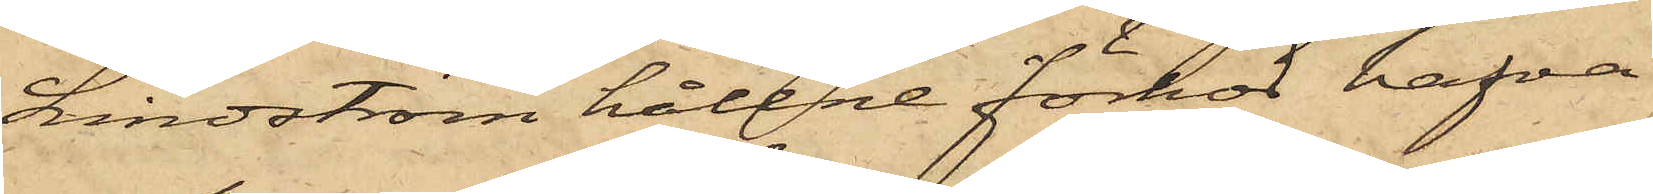Lindström hållne förhör hafva
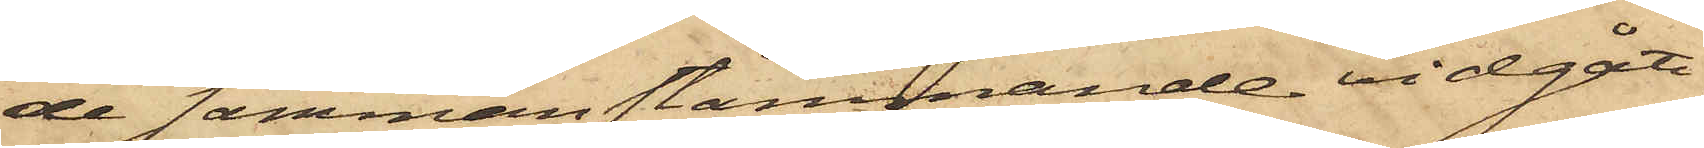de sammanstämmande vidgått,
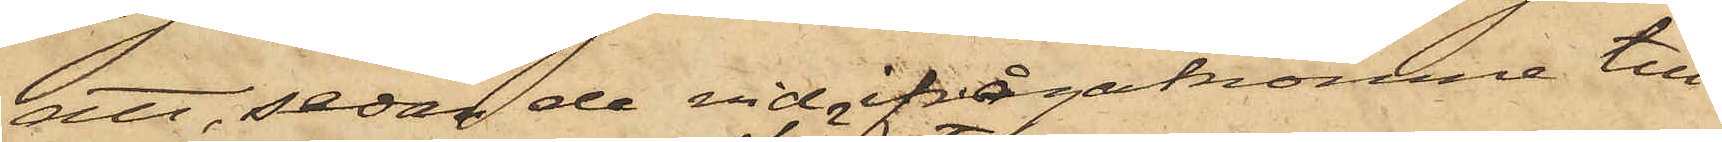att, sedan de vid ifrågakomne till¬
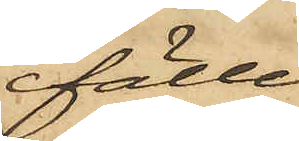fälle
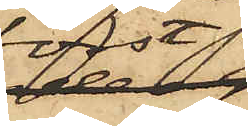först
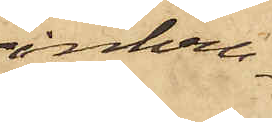inkru¬
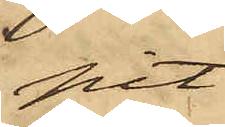pit
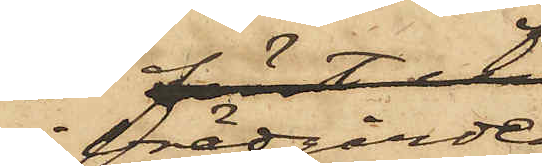i brädgården
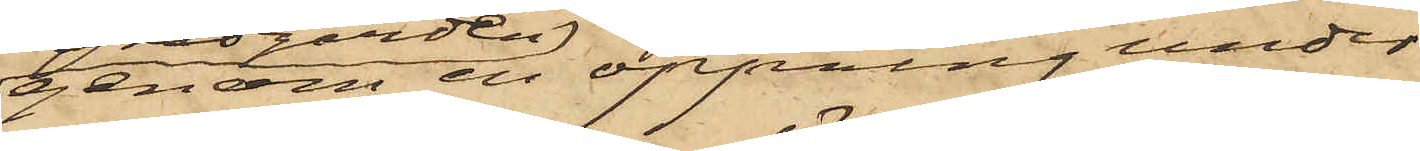genom en öppning under
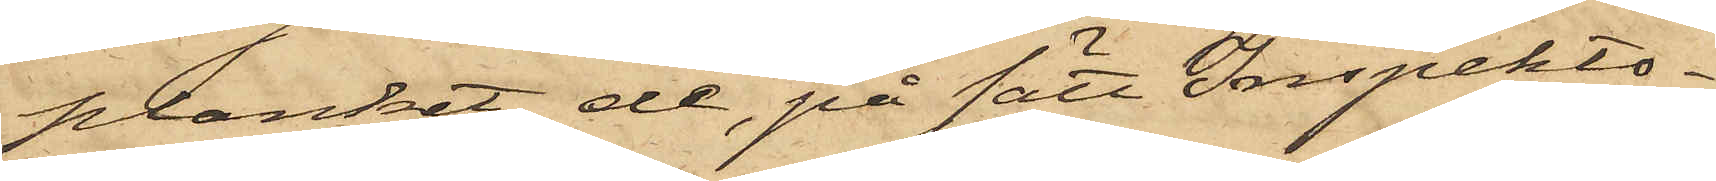planket, de, på sätt Inpekto¬
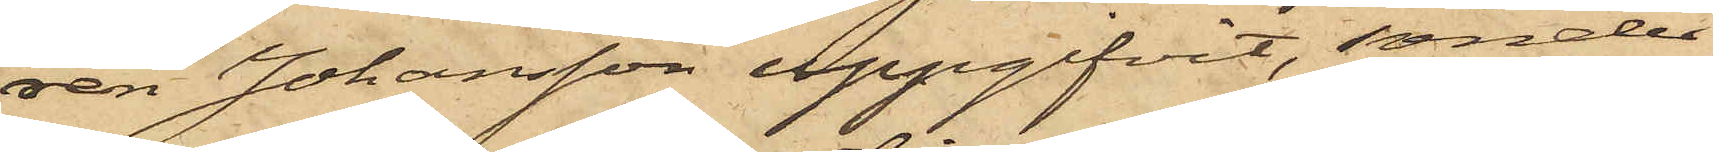ren Johansson uppgifvit, sönder¬
